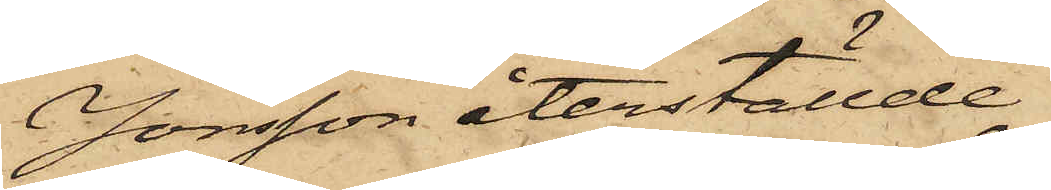Jonsson återställde.
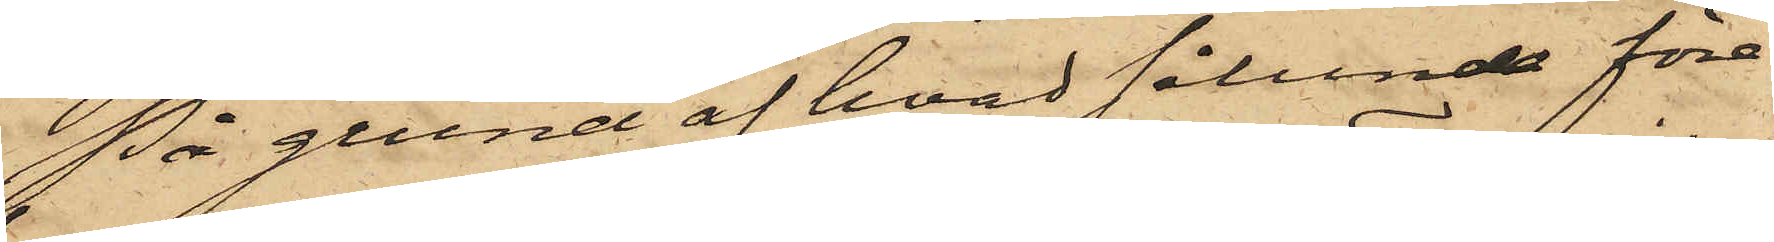På grund af hvad sålunda före¬
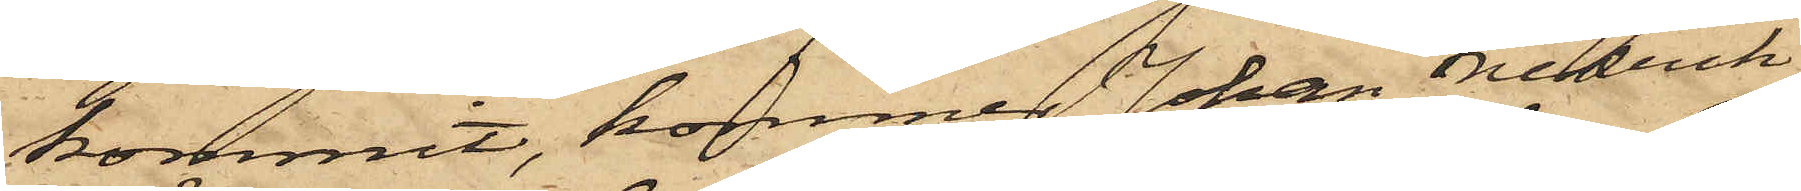kommit, kommer Johan Fredrik
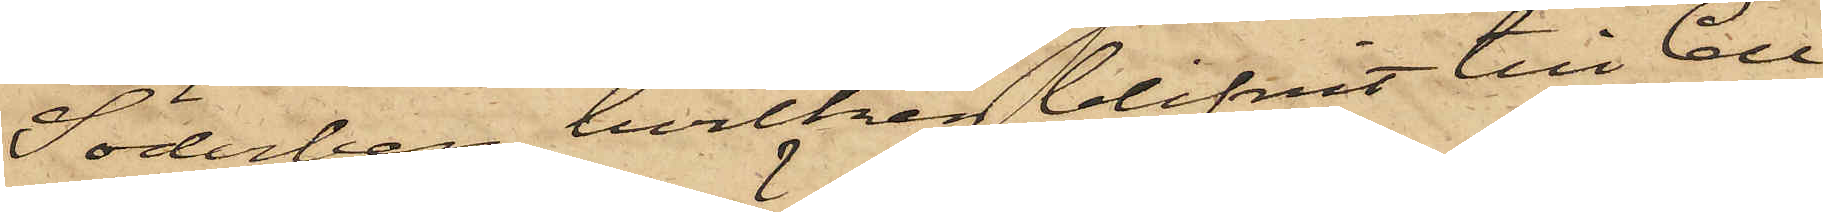Söderberg, hvilken blifvit till Cell¬
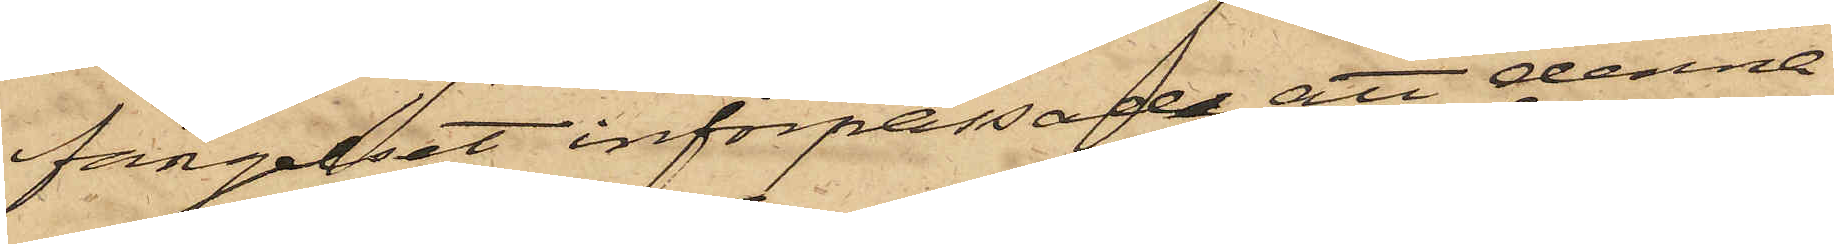fängelset införpassad, att denna
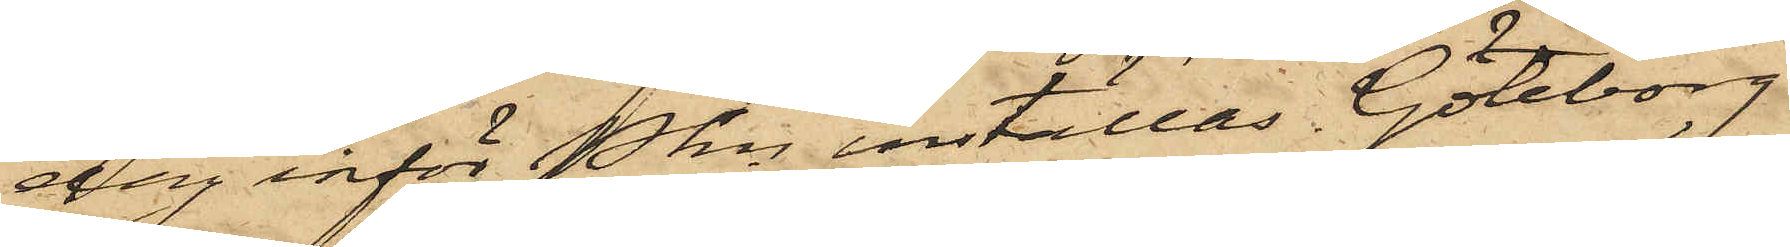dag inför Pkn inställas. Göteborg
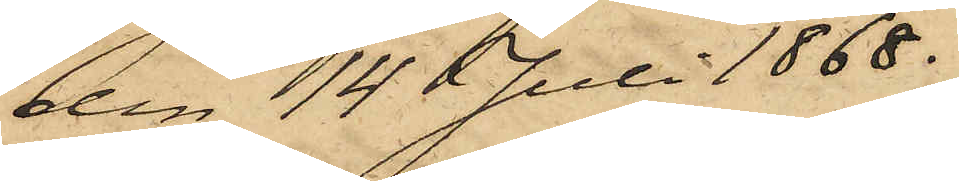den 14 Juli 1868.
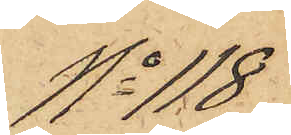No 118
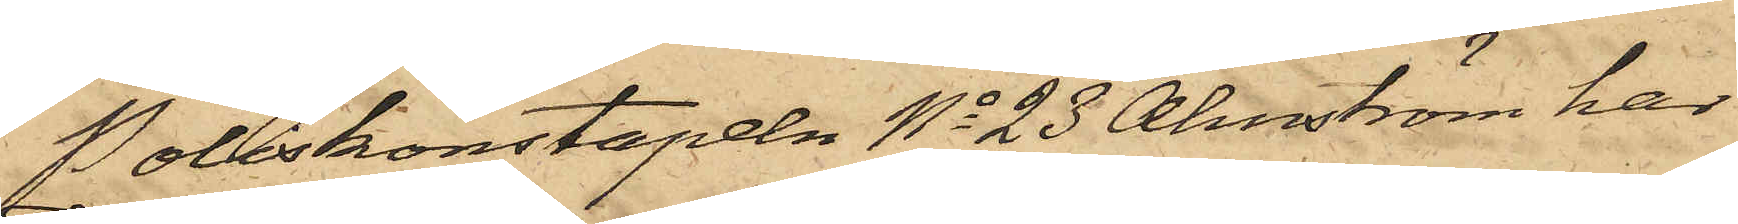Poliskonstapeln No 23 Almström har
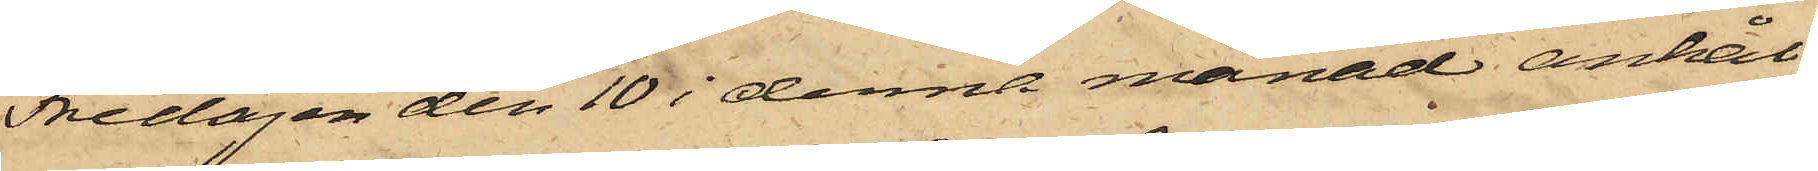Fredagen den 10 i denna månad anhål¬
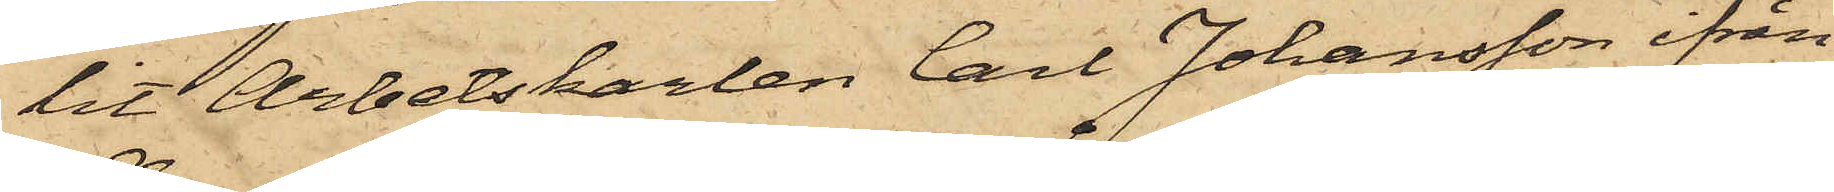lit Arbetskarlen Carl Johansson ifrån
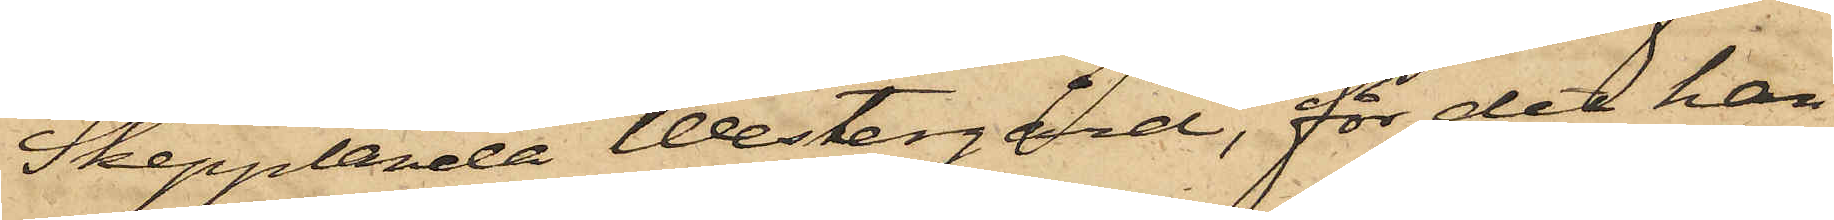Skepplanda Westergård, för det han
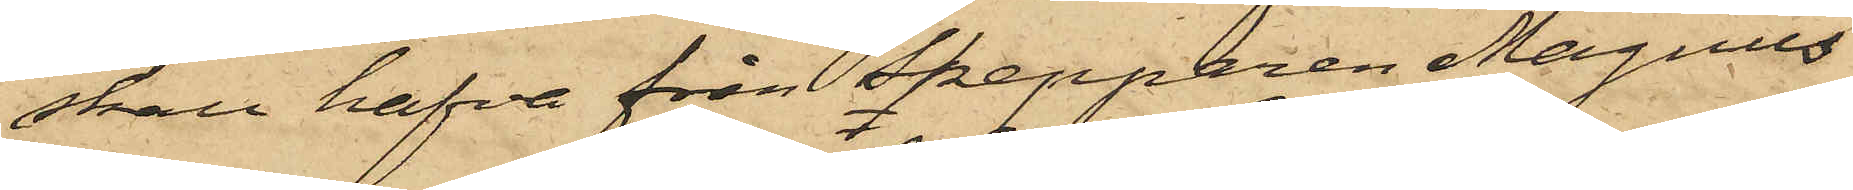skall hafva från Skepparen Magnus
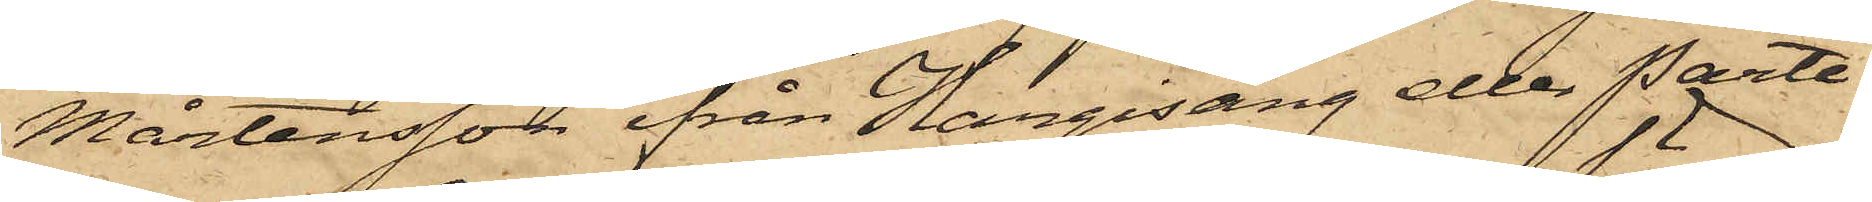Mårtensson ifrån Hargisäng eller Parte¬
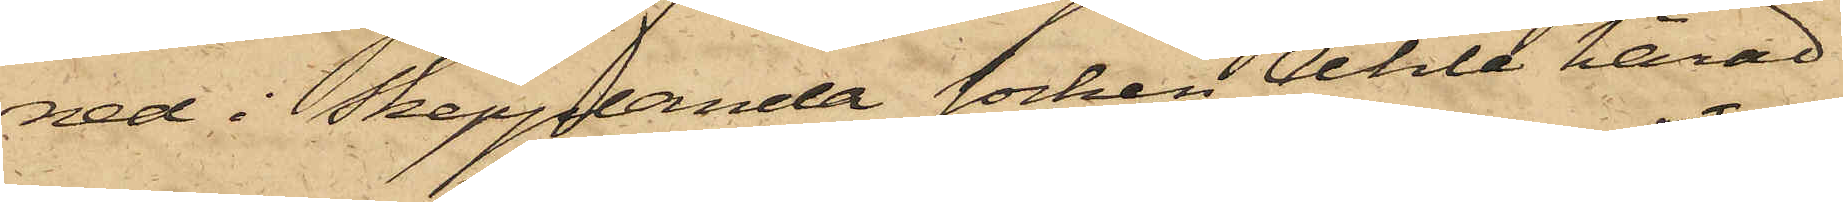ned i Skepplanda socken Ahle härad
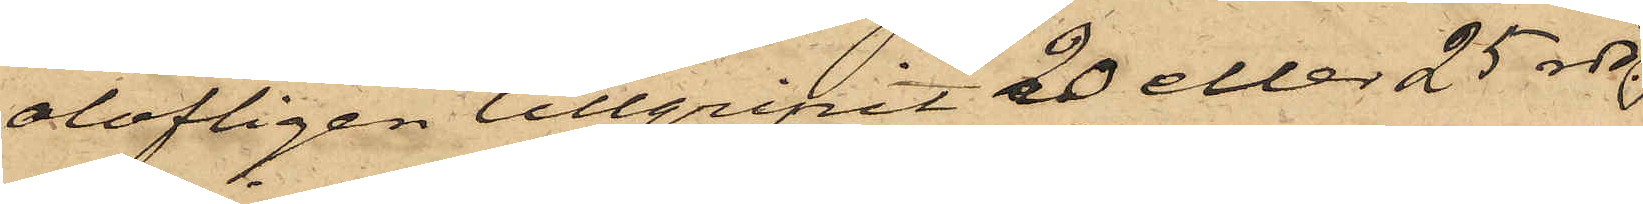olofligen tillgripit 20 eller 25 rdr.
